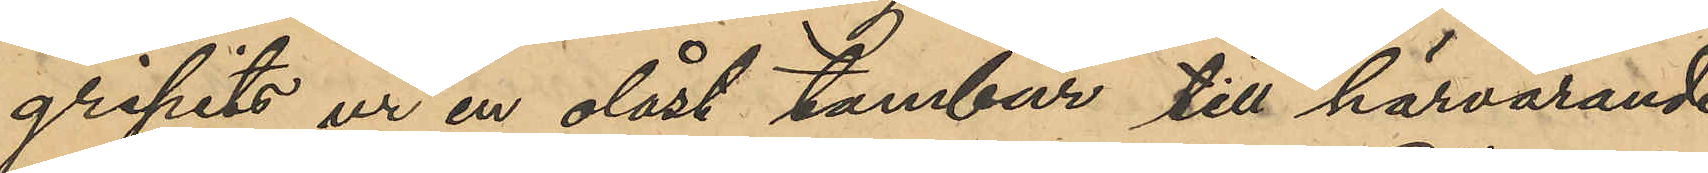gripits ur en olåst tambur till härvarande
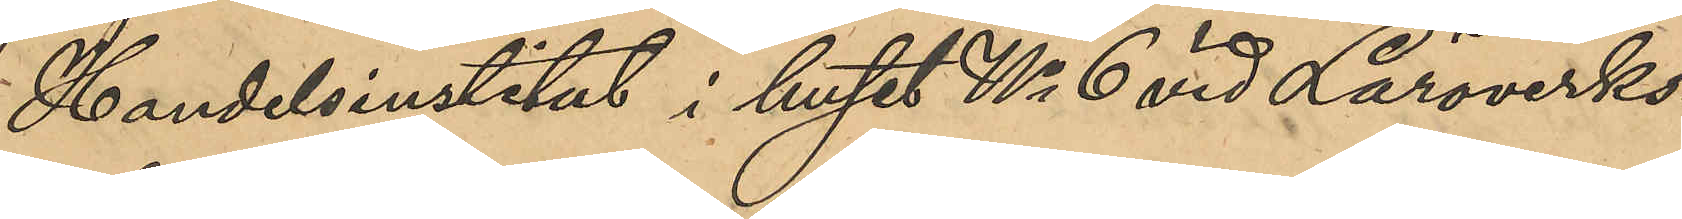Handelsinstitut i huset No 6 vid Läroverks¬
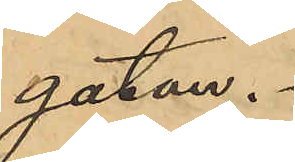gatan.
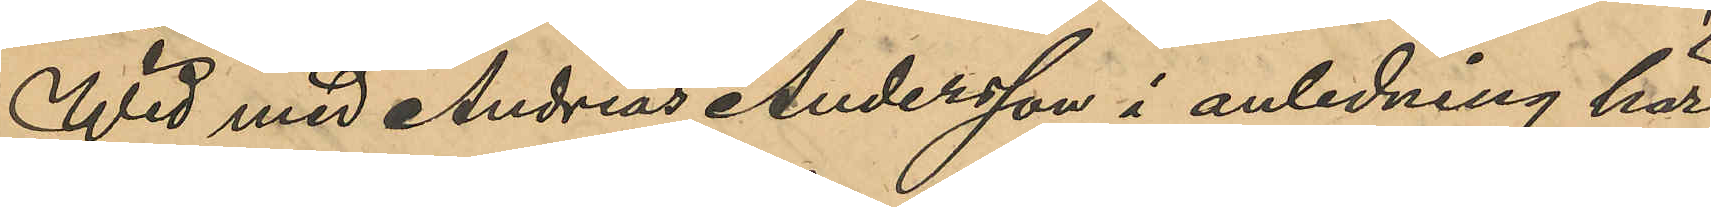Wid med Andreas Andersson i anledning här
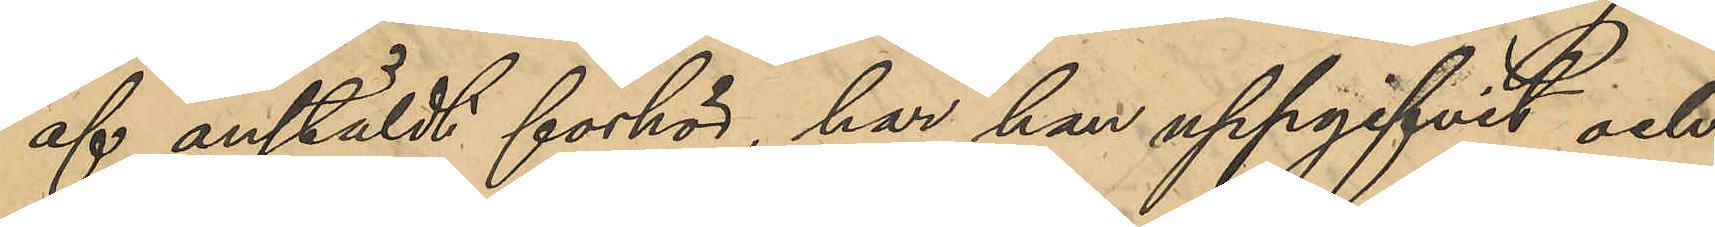af anstäldt förhör, har han uppgifvit och
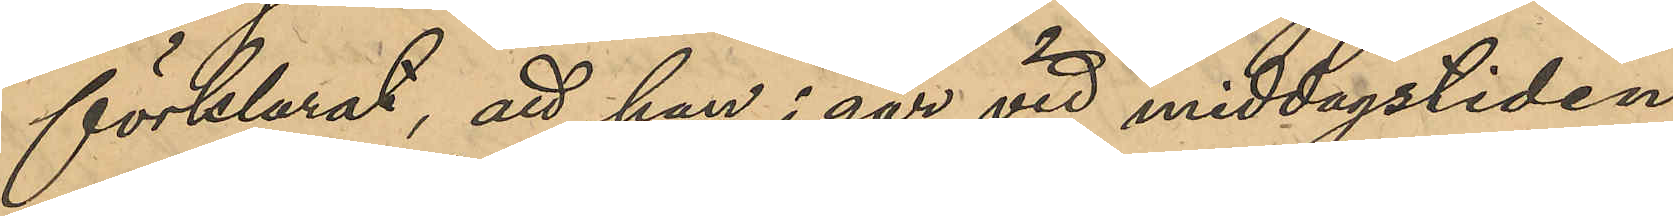förklarat, att han i går vid middagstiden
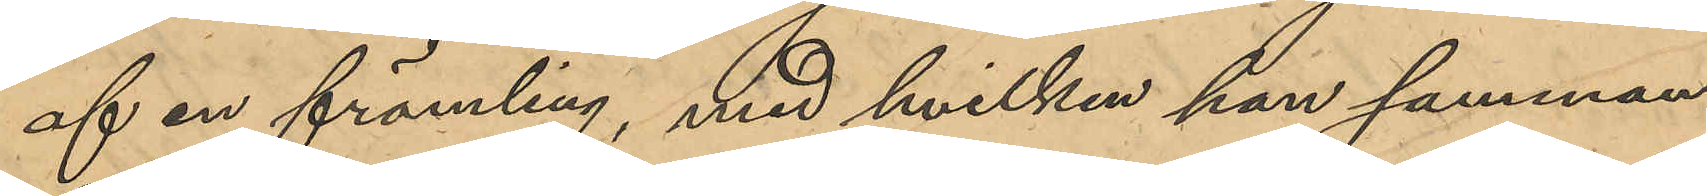af en främling, med hvilken han samman¬
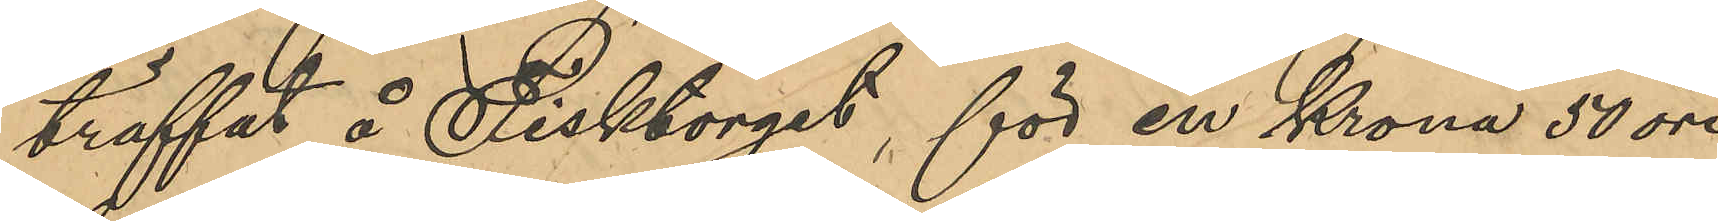träffat å Fisktorget, för en Krona 50 öre
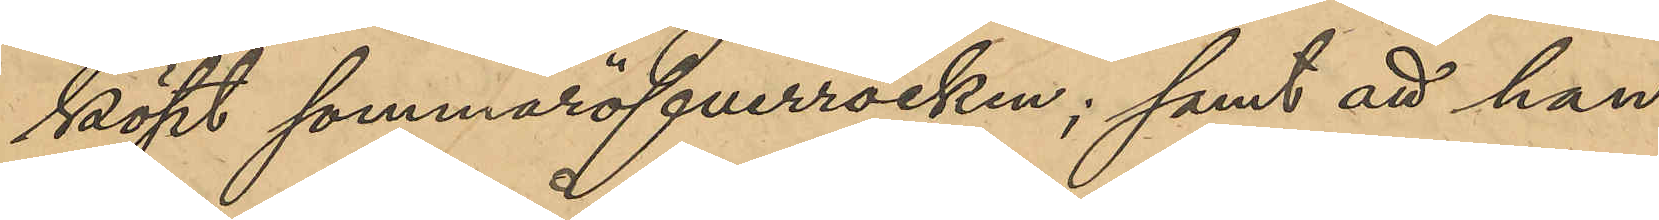köpt sommaröfverrocken; samt att han
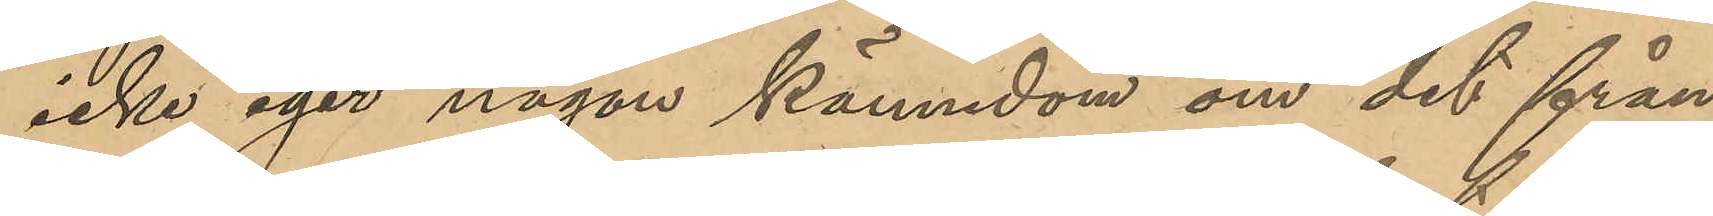icke eger någon kännedom om det från
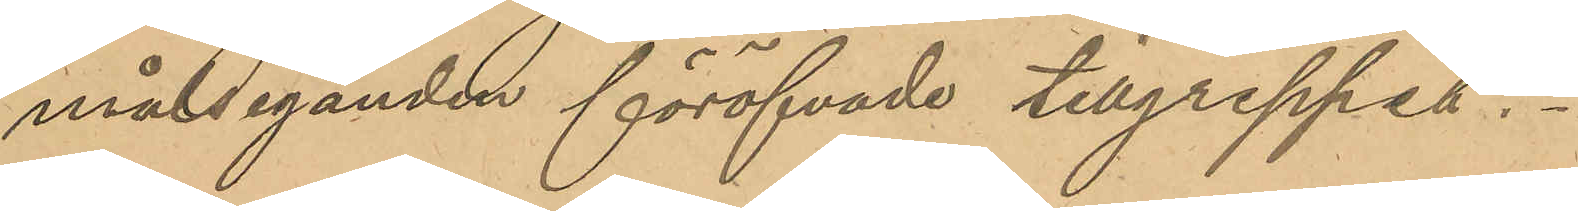målseganden föröfvade tillgreppet.
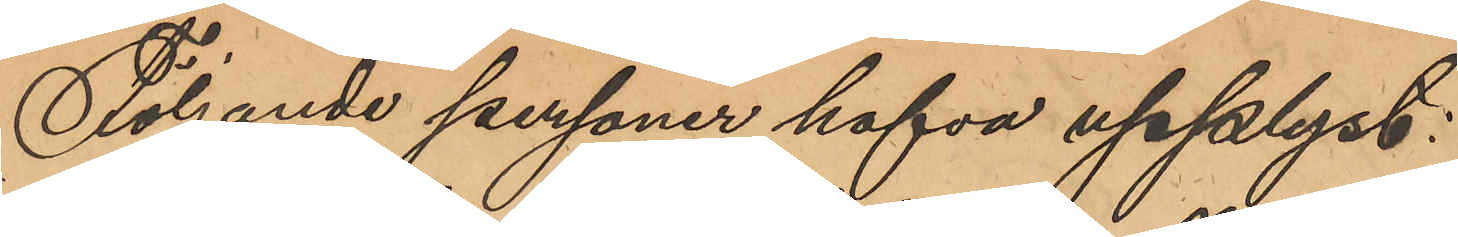Följande personer hafva upplyst:
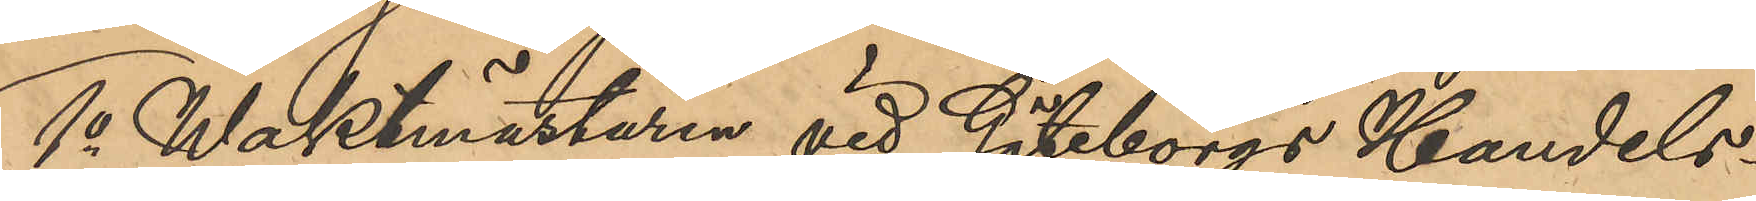1o Waktmästaren vid Göteborgs Handels¬
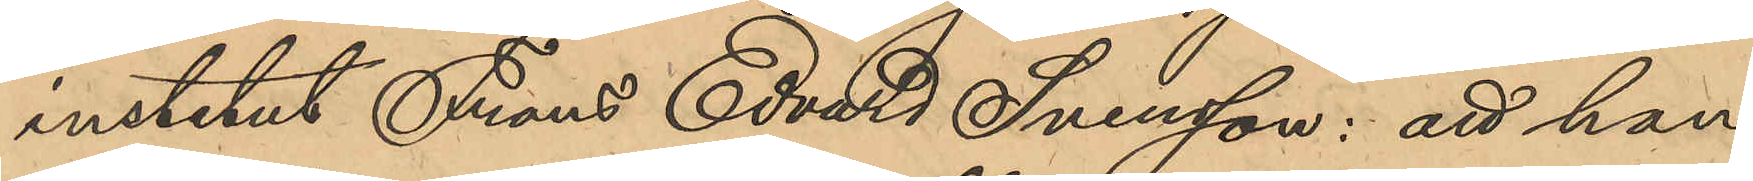institut Frans Edvard Svensson: att han
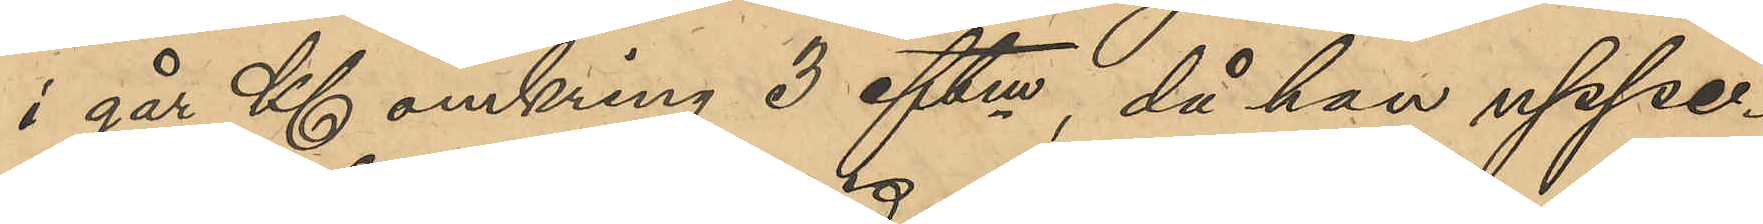i går Kl omkring 3 eftm, då han uppe¬
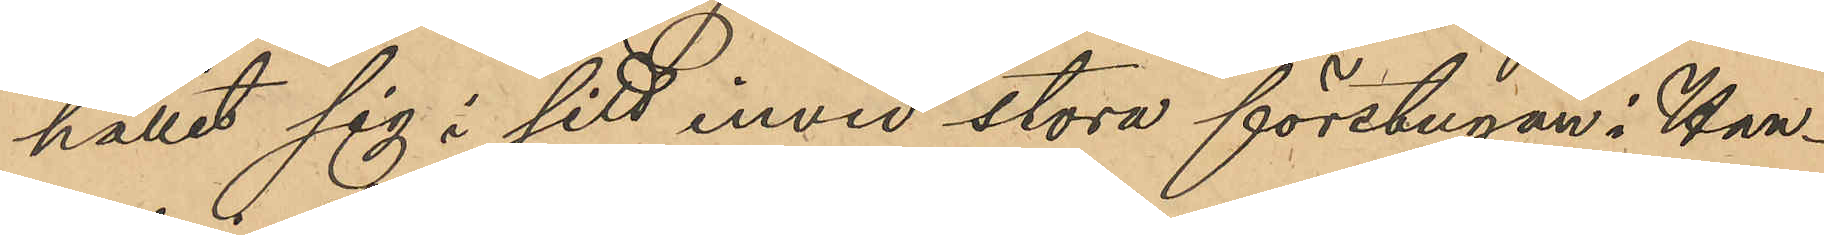hållit sig i sitt invid stora förstugan i Han¬
